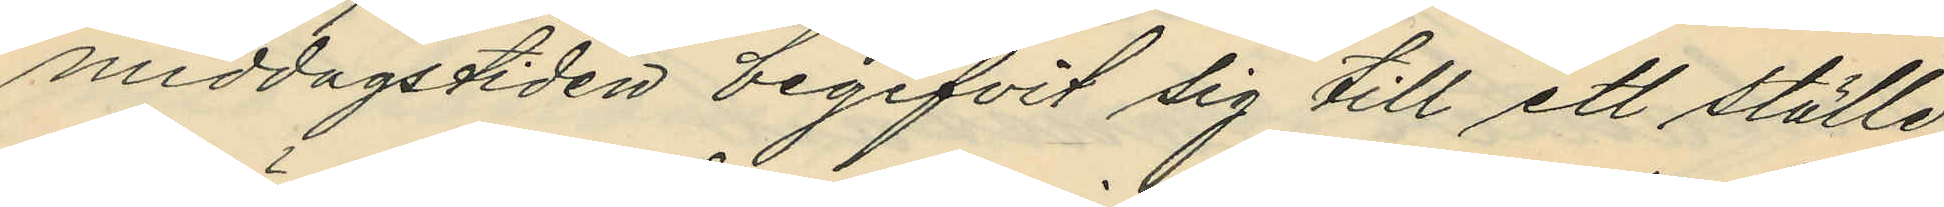middagstiden begifvit sig till ett ställe
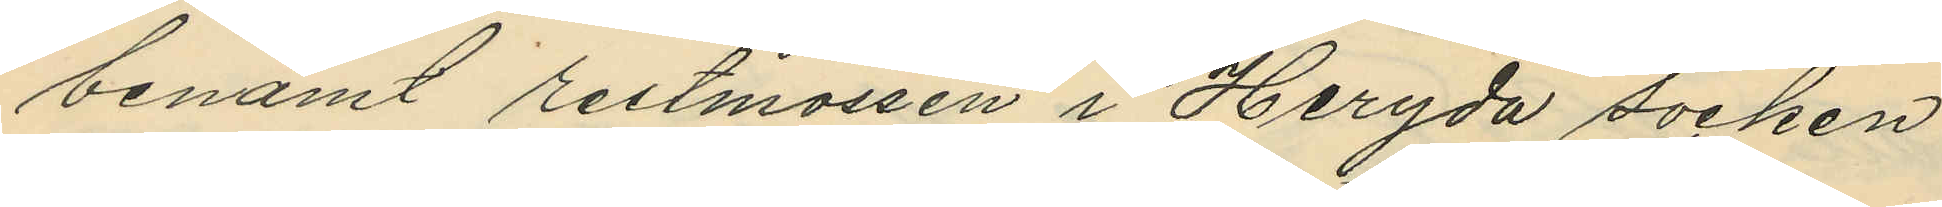benämt restmossen i Heryda socken
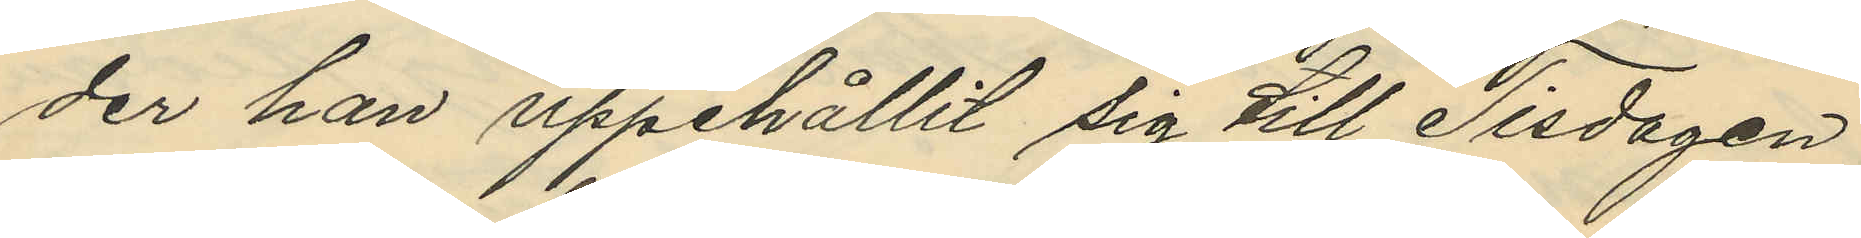der han uppehållit sig till Tisdagen
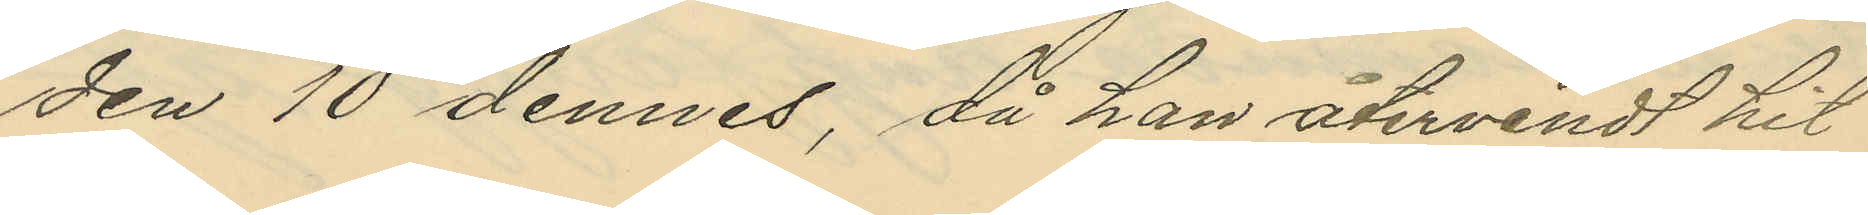den 10 dennes, då han återvendt hit
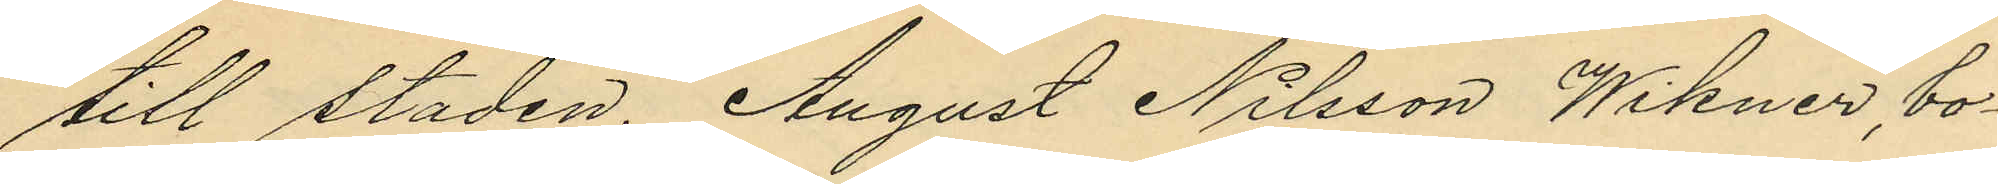till staden. August Nilsson Wikner, bo¬
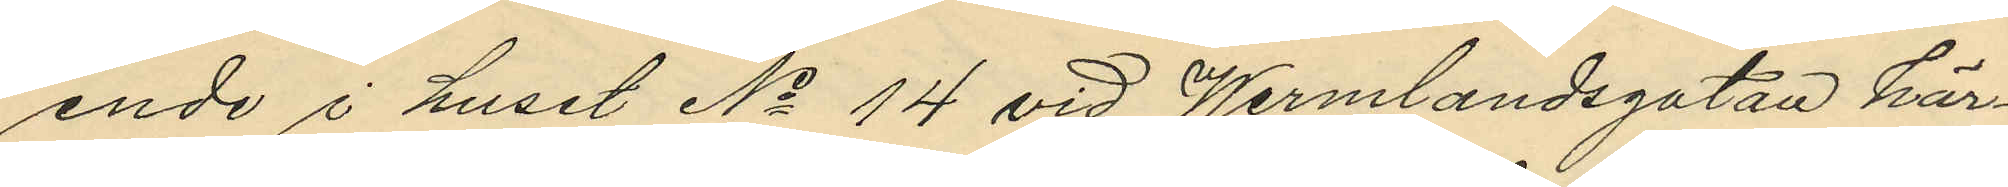ende i huset No 14 vid Wermlandsgatan här¬
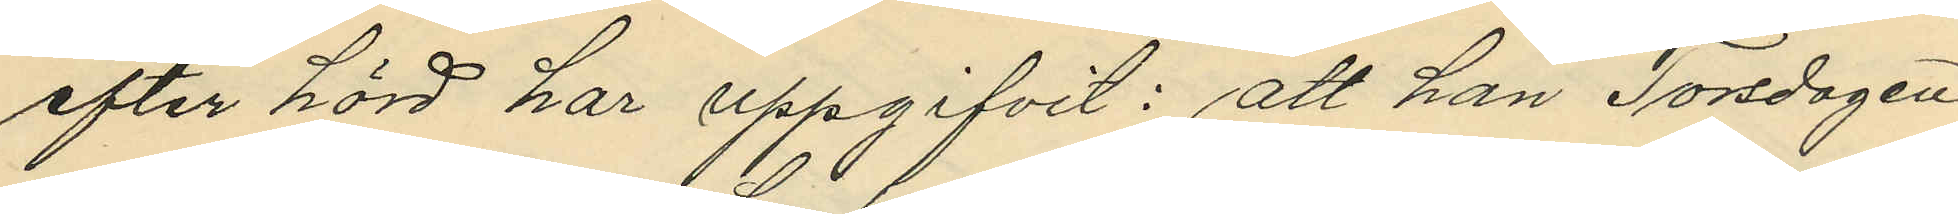efter hörd har uppgifvit: att han Torsdagen
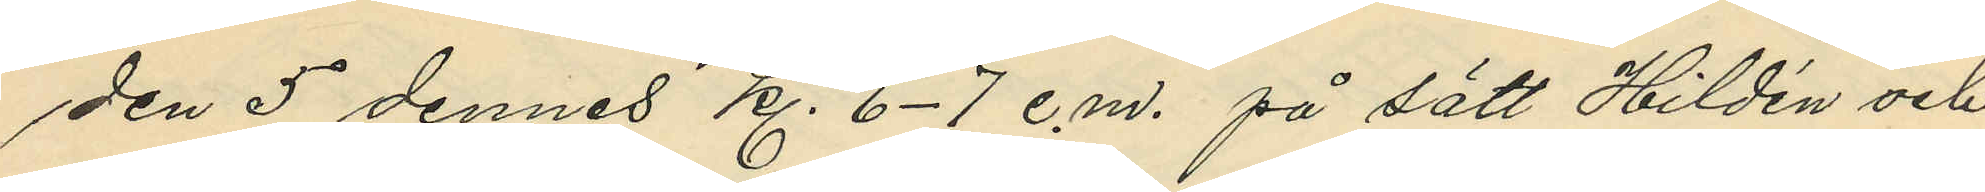den 5 dennes kl. 6-7 e.m. på sätt Hildén och
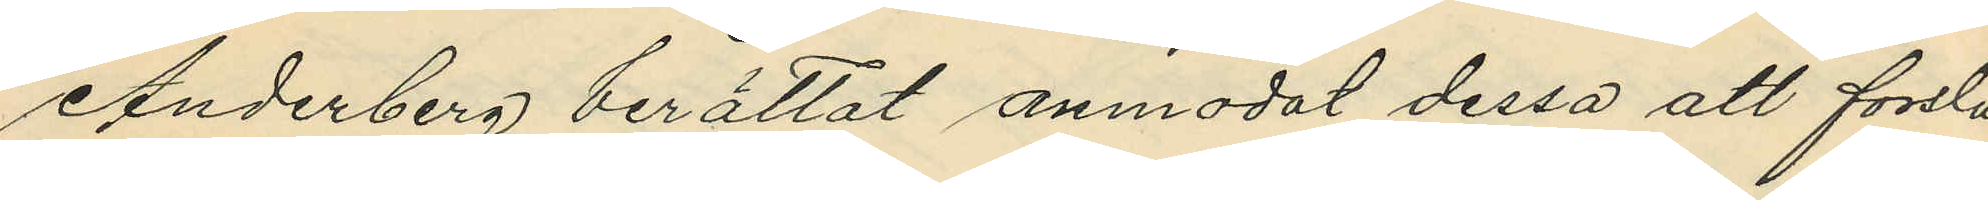Anderberg berättat anmodat dessa att forsla
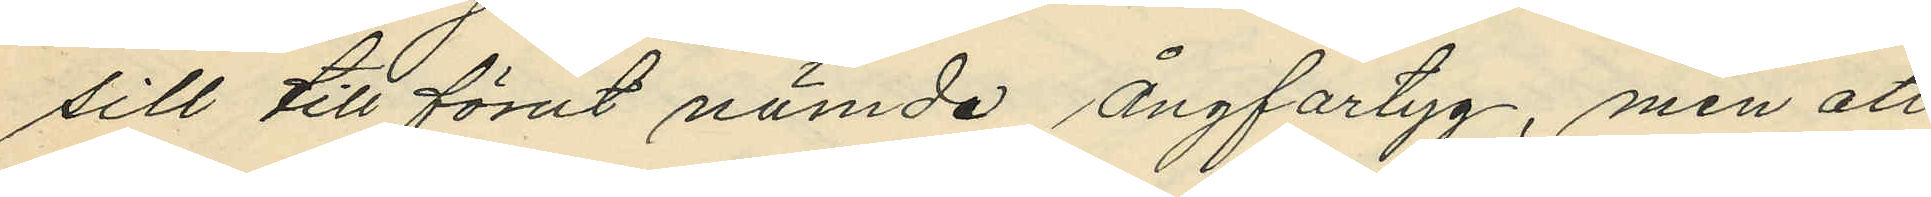sill till förut nämde ångfartyg, men att
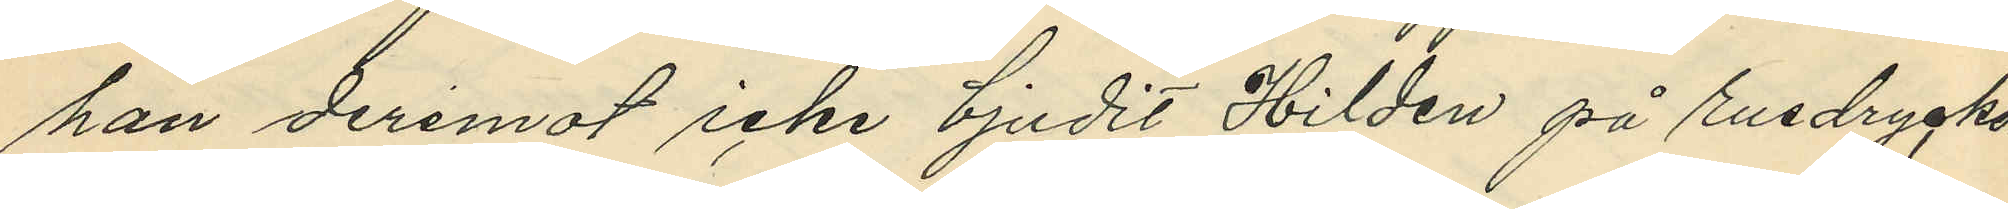han deremot icke bjudit Hilden på rusdrycker
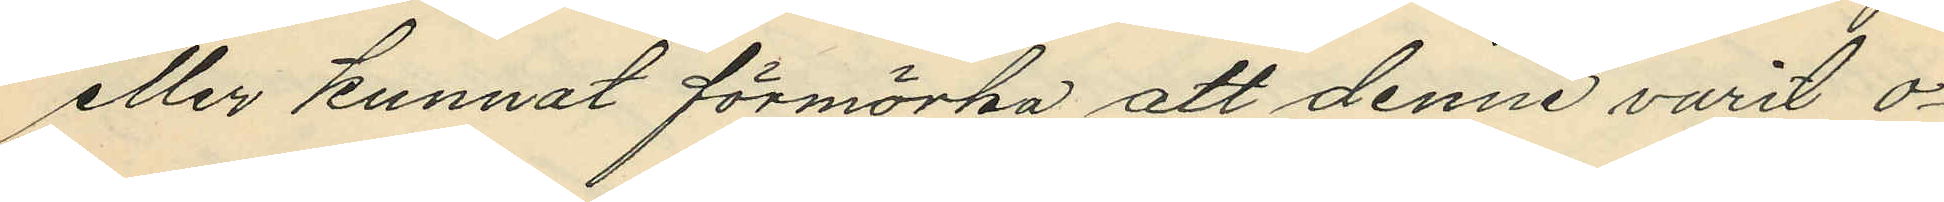eller kunnat förmörka att denne varit o¬
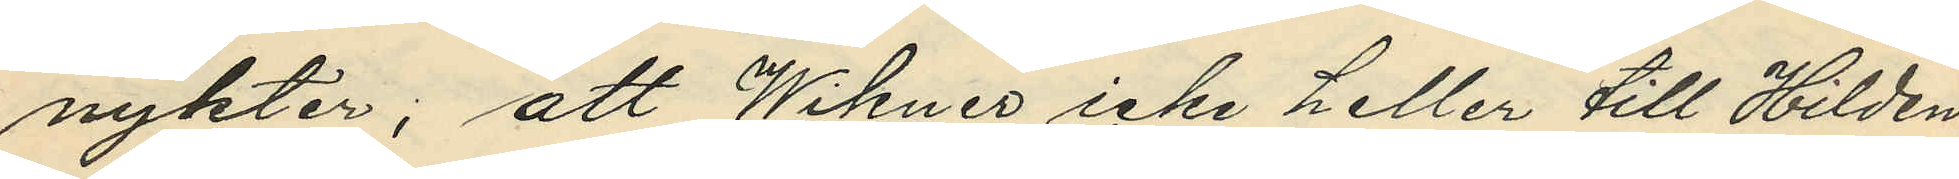nykter; att Wikner icke heller till Hilden
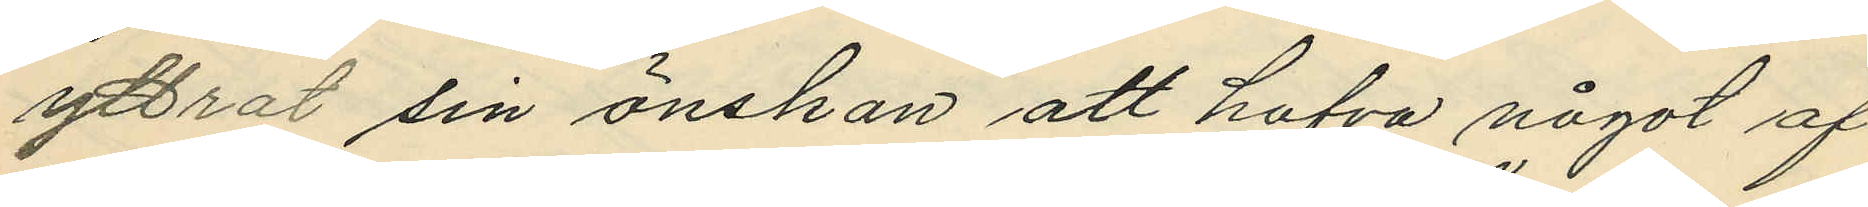yttrat sin önskan att hafva något af
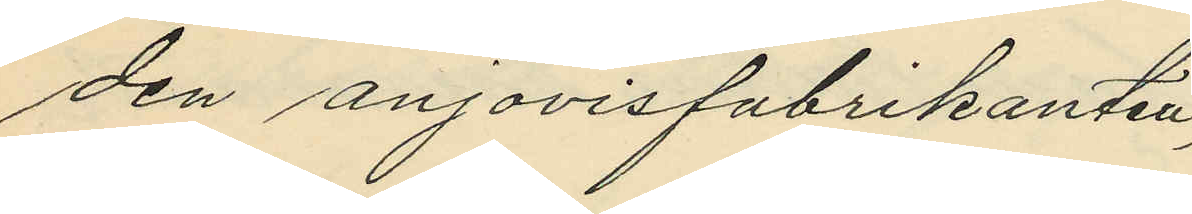den anjovisfabrikanten
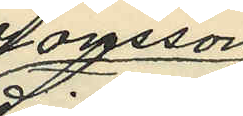Jansson
